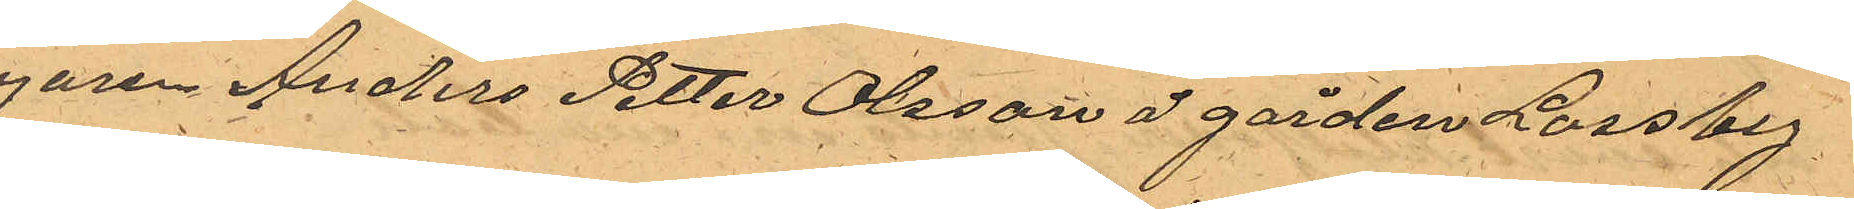egaren Anders Petter Olsson å gården Lossby
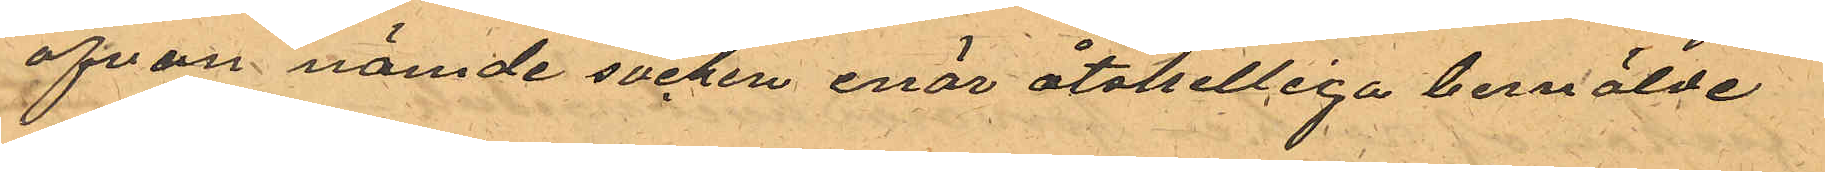i ofvan nämde socken enär åtskilliga bemälde
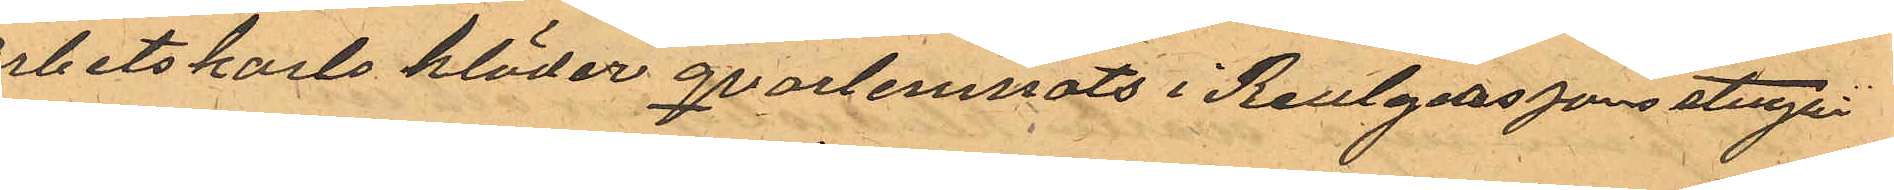arbetskarls kläder qvarlemnats i Reutgerssons stuga.
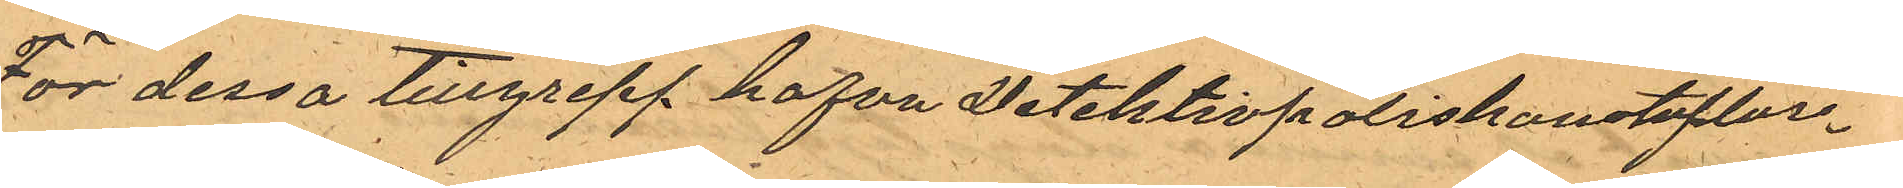För dessa tillgrepp hafva Detektivpoliskonstaplar¬
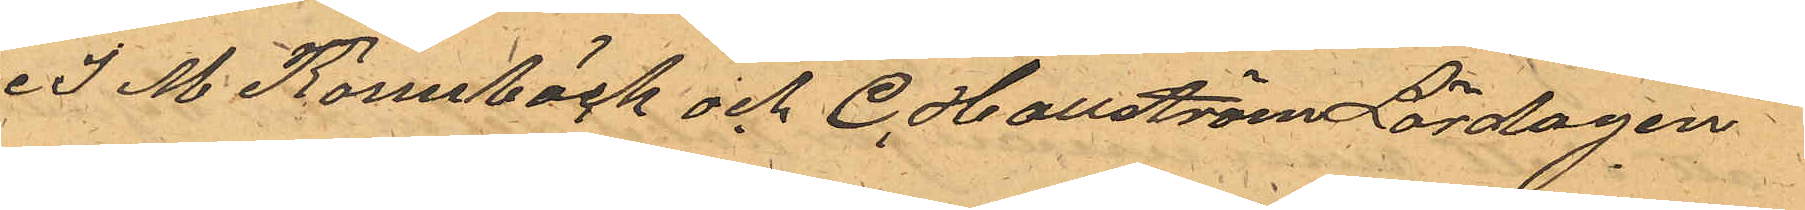ne J. M. Rönnbäck och C. Hallström Lördagen
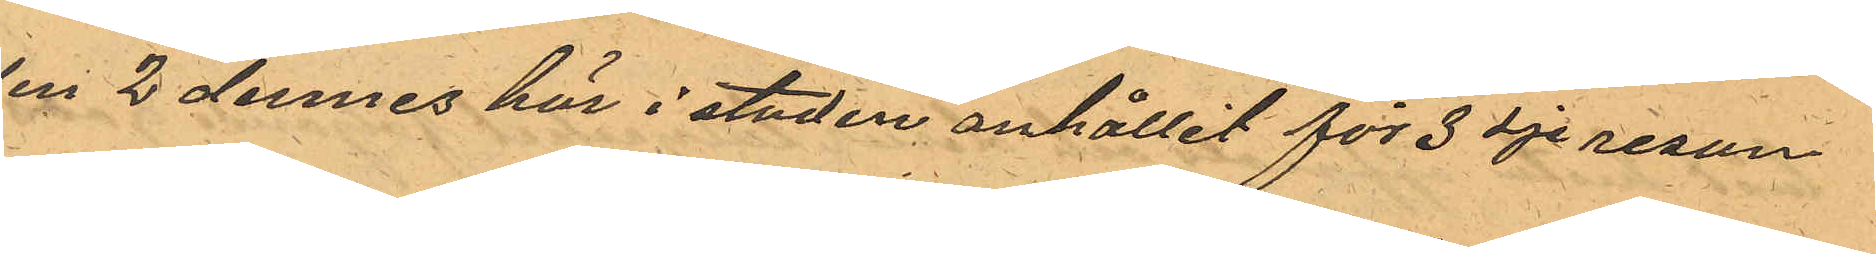den 2 dennes här i staden anhållit för 3dje resan
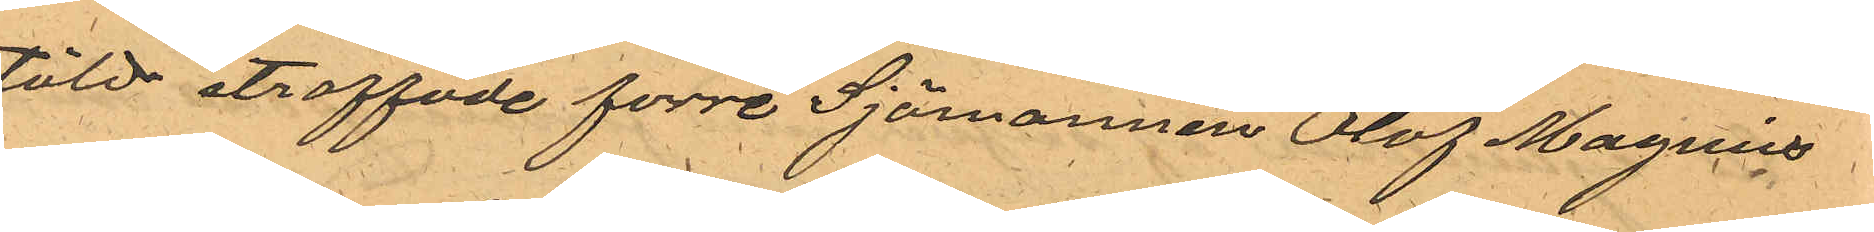stöld straffade förre Sjömannen Olof Magnus
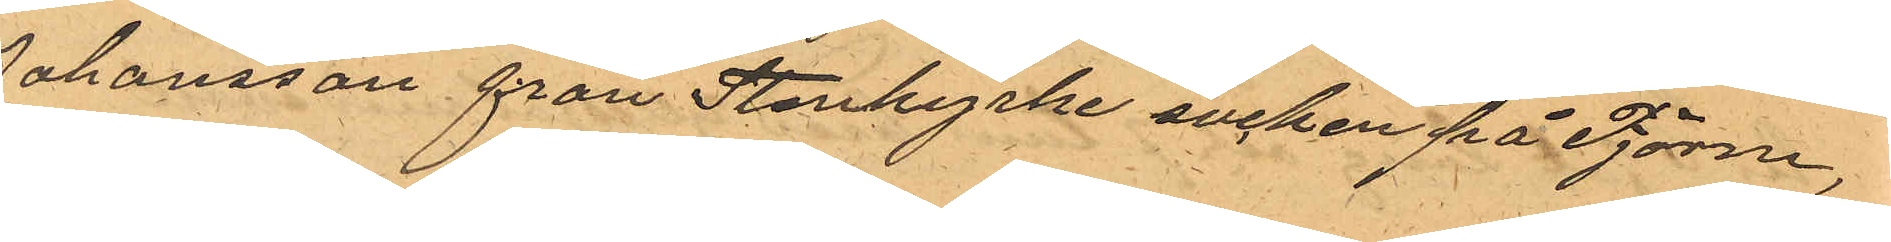Johansson från Stenkyrke socken på Tjörn,
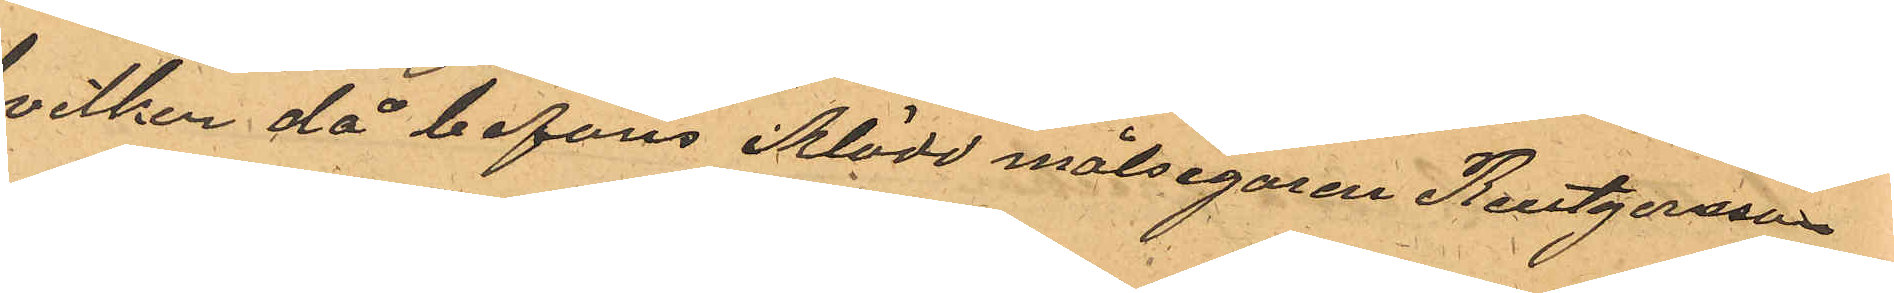hvilken då befans iklädd målsegaren Reutgersson
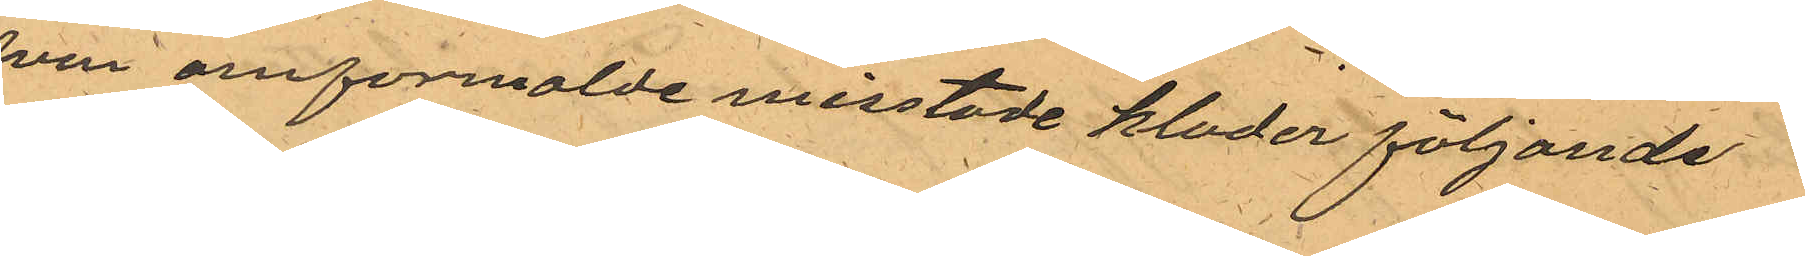ofvan omformalde misstade klader följande
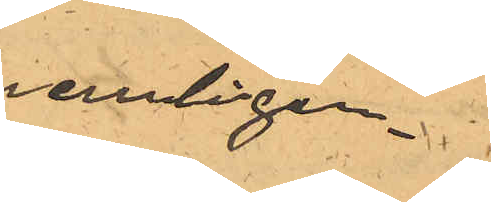nemligen
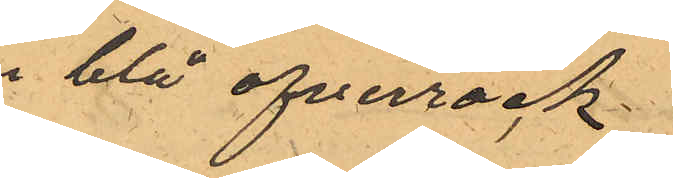En blå ofverrock
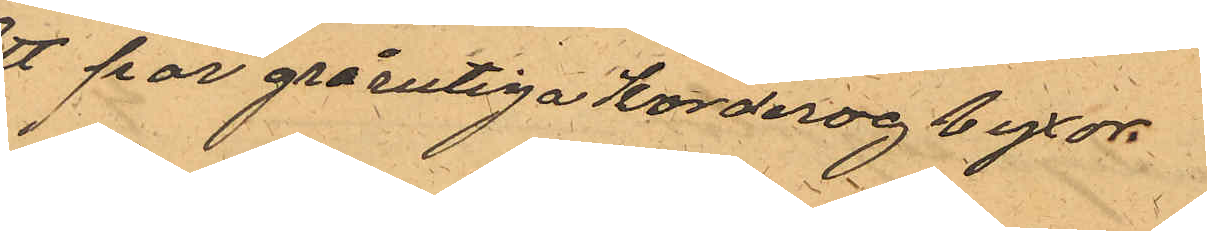Ett par grårutiga korderog byxor
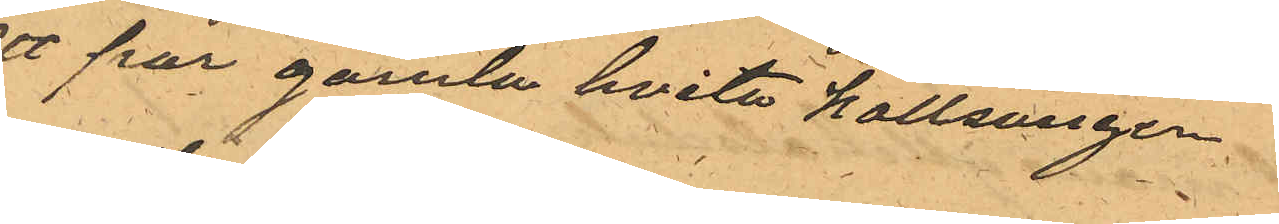ett par gamla hvita kallsonger,
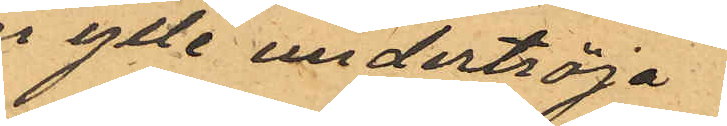en ylle undertröja
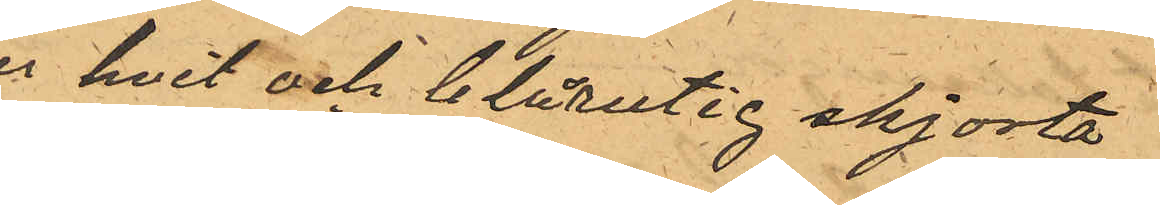en hvit och blårutig skjorta
